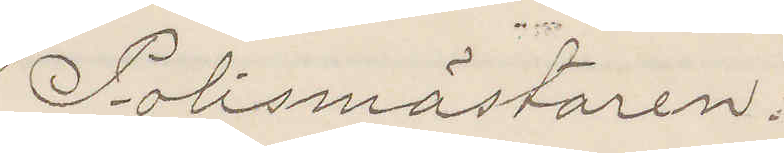Polismästaren.
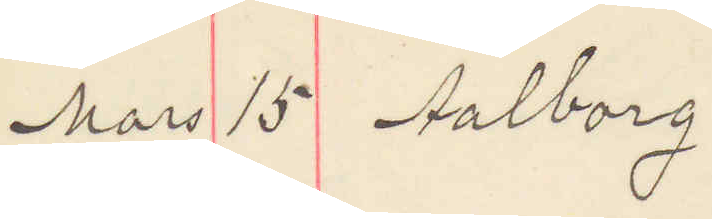Mars 15 Aalborg
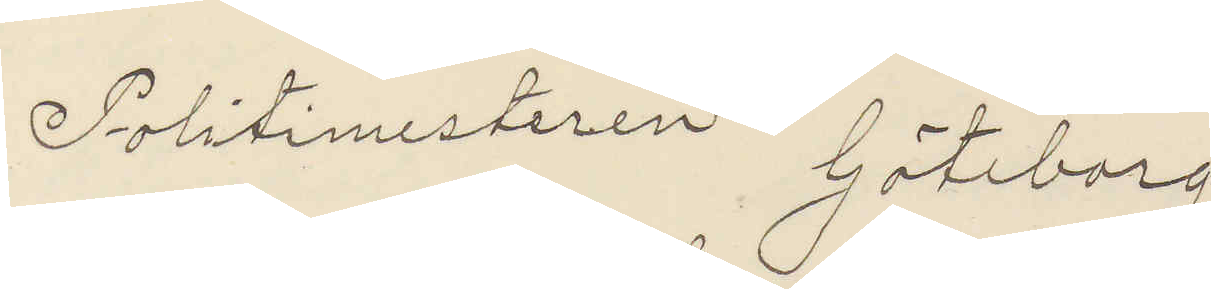Politimesteren Göteborg
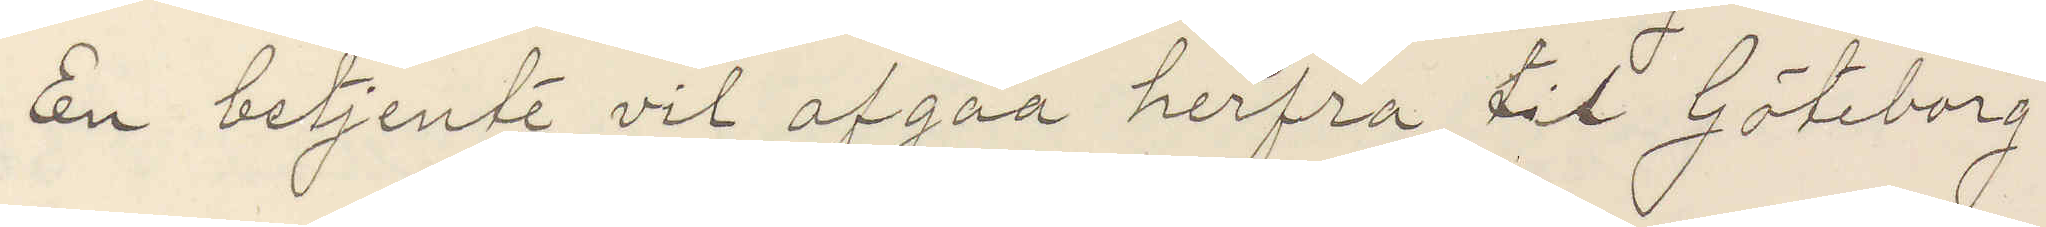En betjente vil afgaa herfra til Göteborg
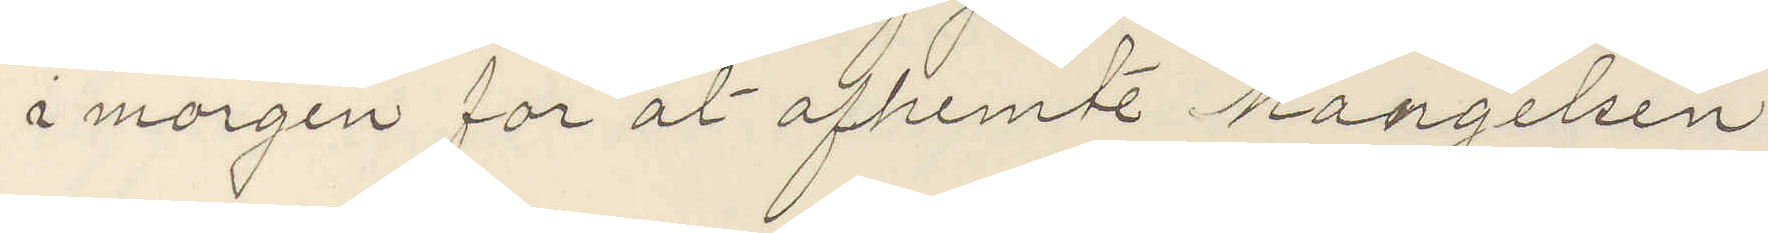i morgen for at afhemte Mangelsen
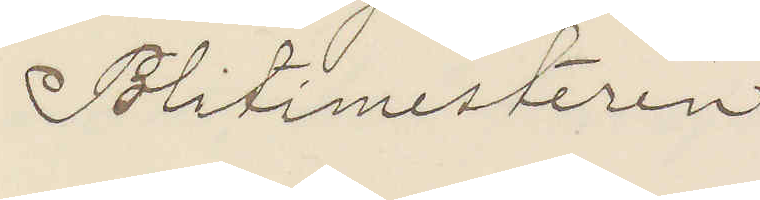Politimesteren
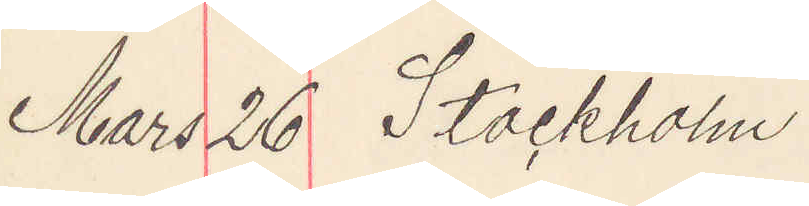Mars 26 Stockholm
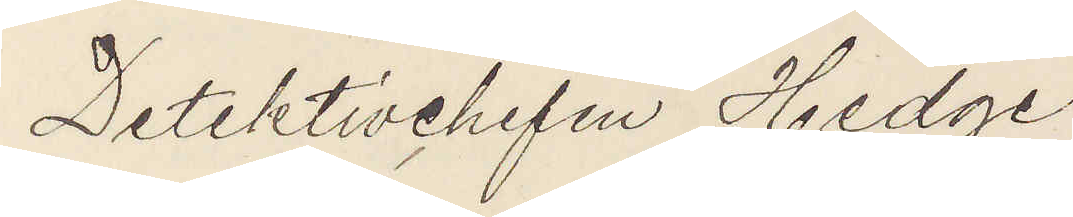Detektivchefen Hedge
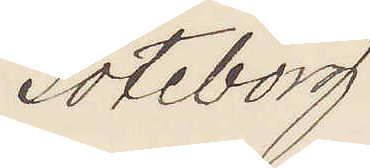Göteborg.
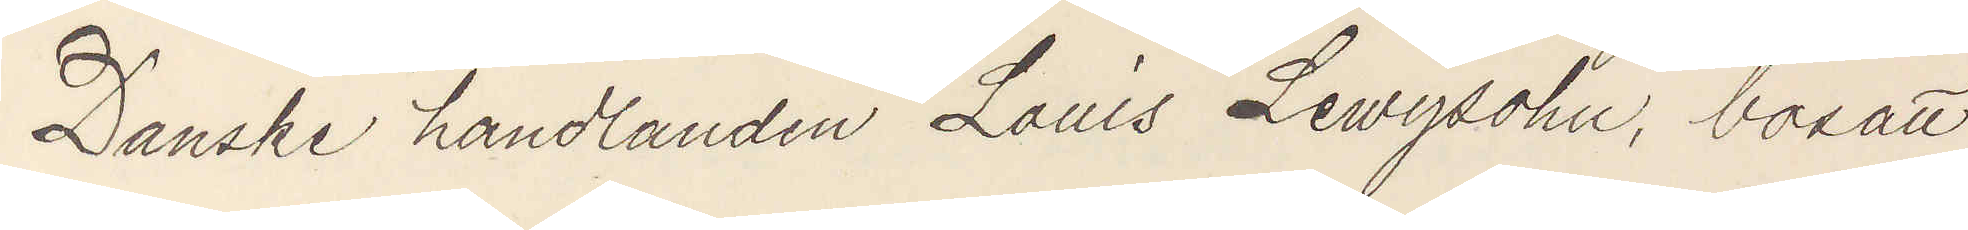Danske handlanden Louis Lewysohn, bosatt
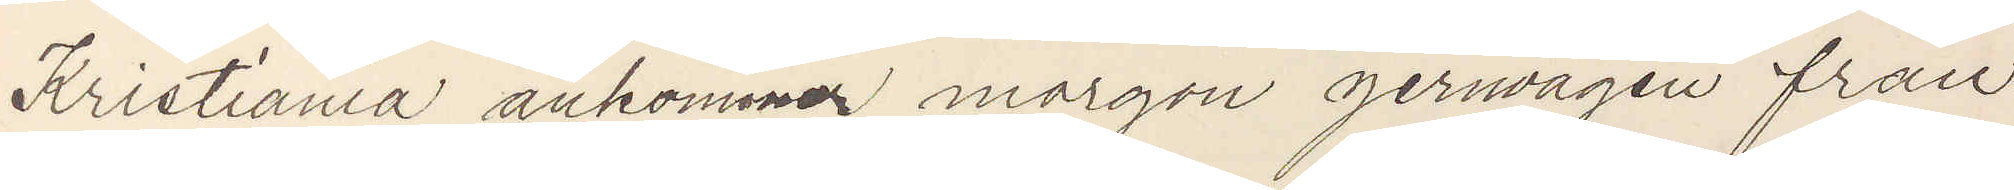Kristiania ankommer morgon jernvägen från
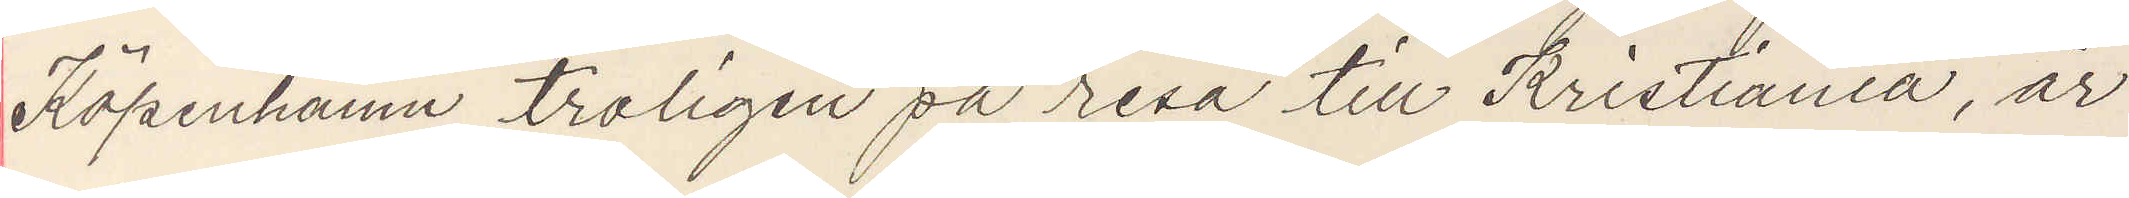Köpenhamn troligen resa till Kristiania, är
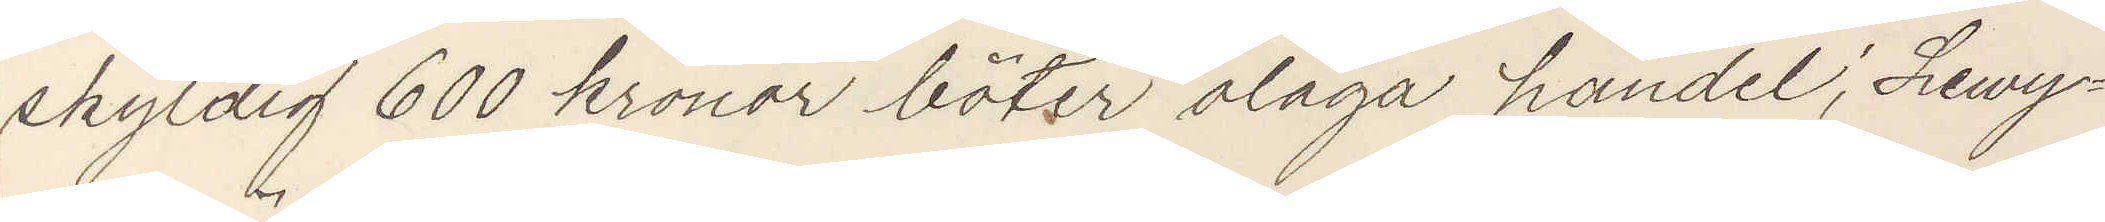skyldig 600 kronor böter olaga handel; Lewy¬
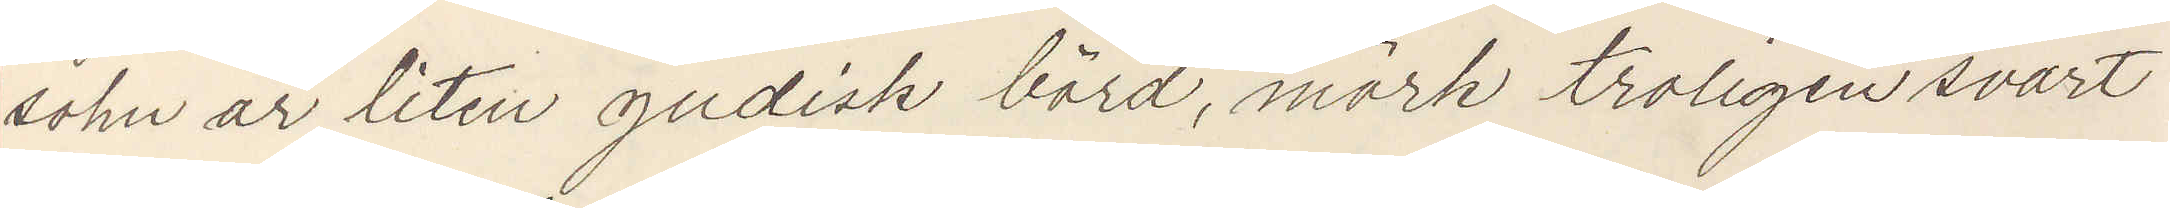sohn är liten judisk börd, mörk troligen svart
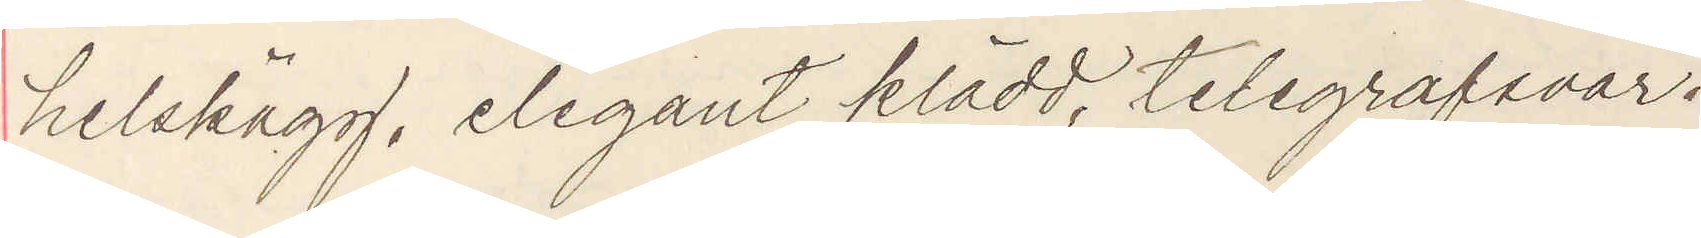helskägg, elegant klädd, telegrafsvar.
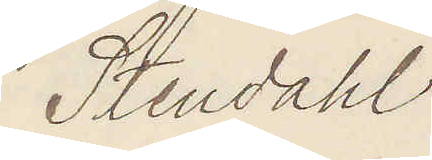Stendahl.
